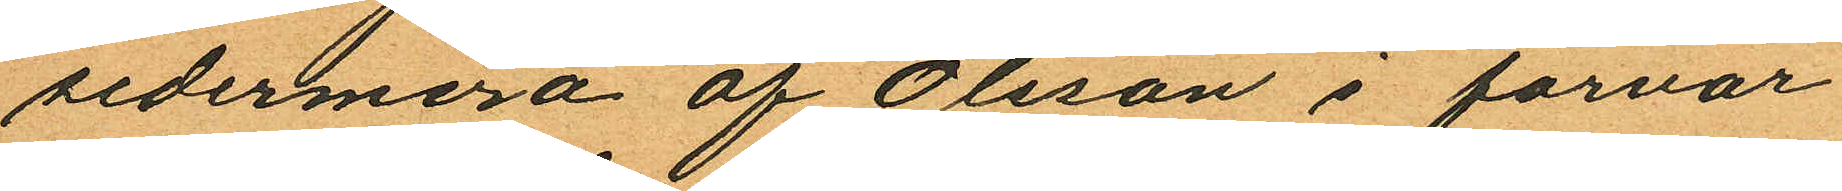sedermera af Olsson i förvar
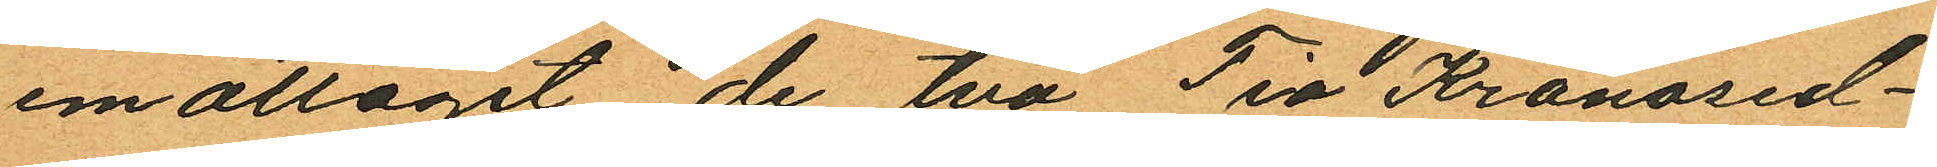emottagit de två Tia Kronosed¬
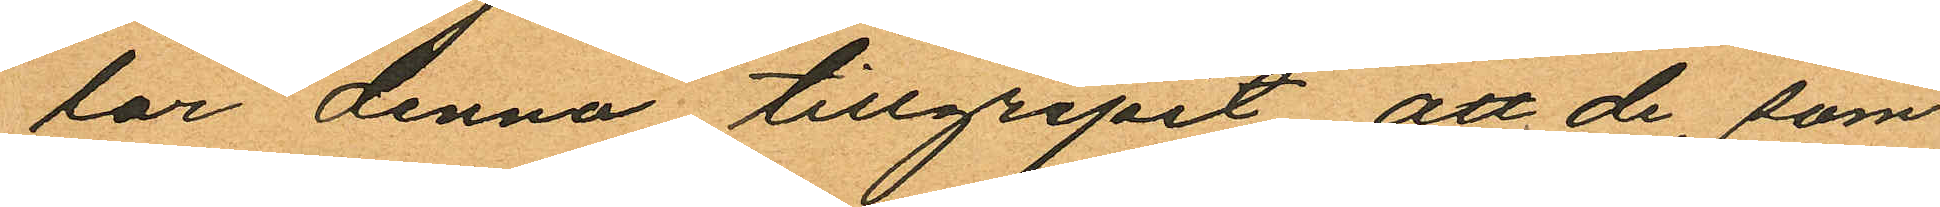lar denna tillgripit att de, som
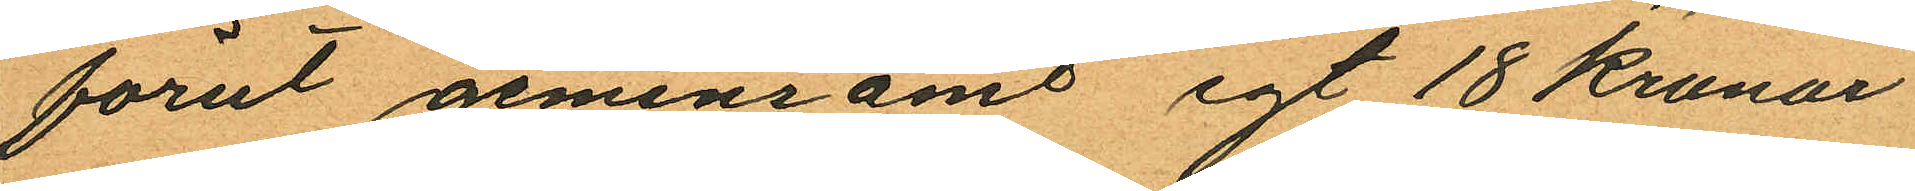förut gemensamt egt 18 Kronor
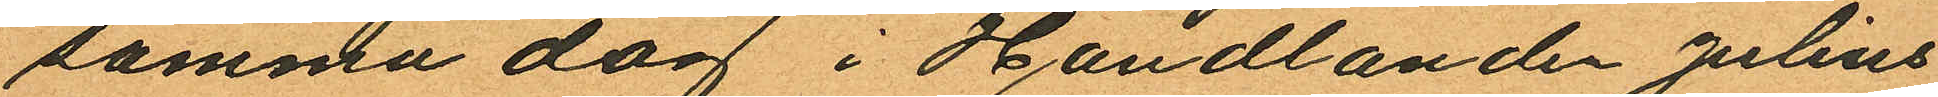samma dag i Handlanden Julius
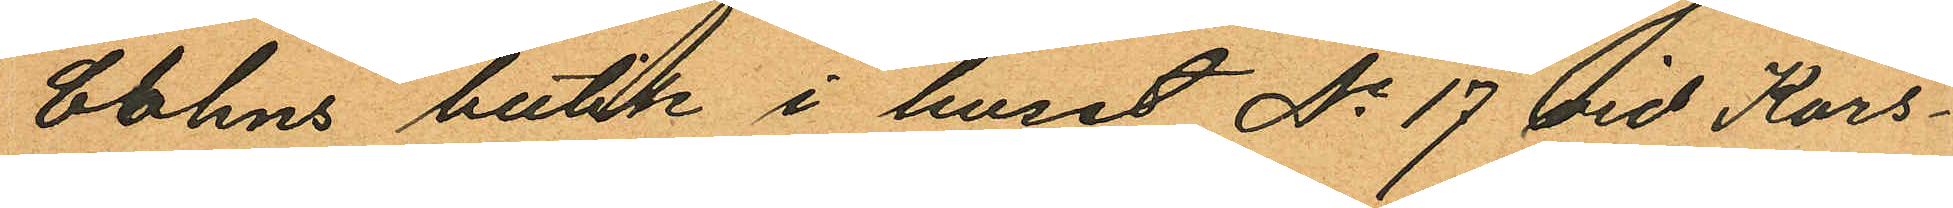bohns butik i huset No 17 vid Kors¬
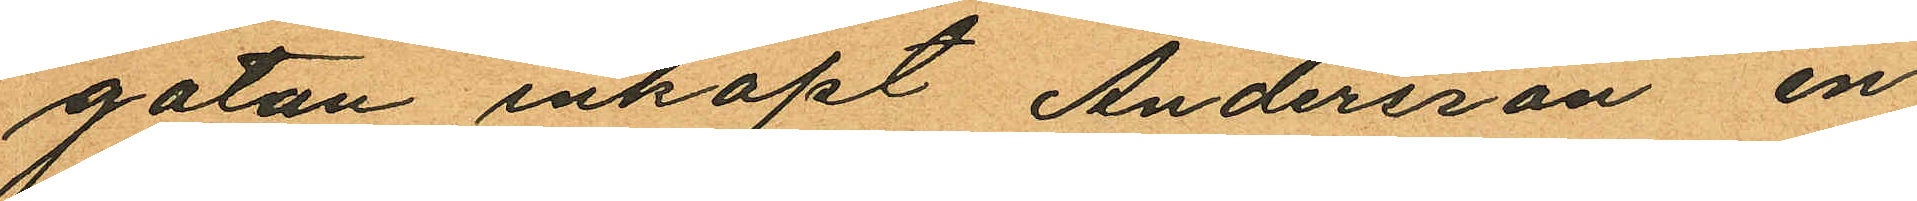gatan inköpt Andersson en
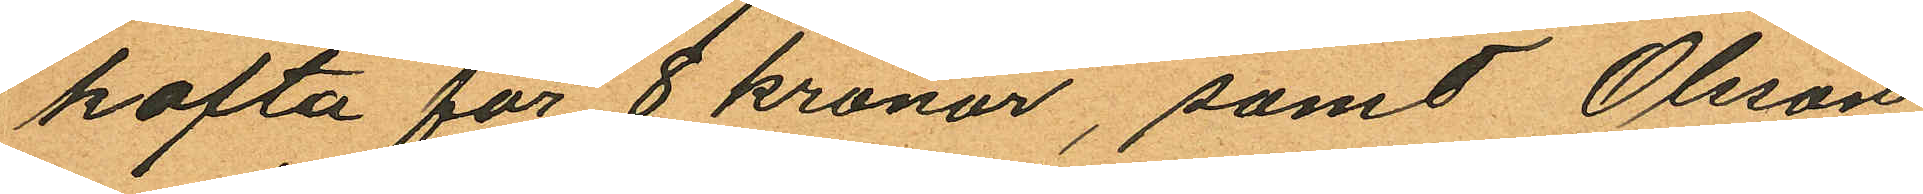kofta för 8 kronor, samt Olsson
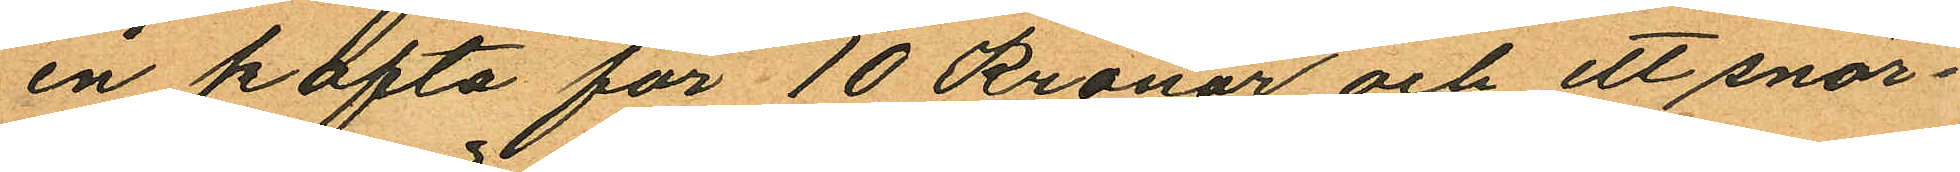en kofta för 10 Kronor och ett snör¬
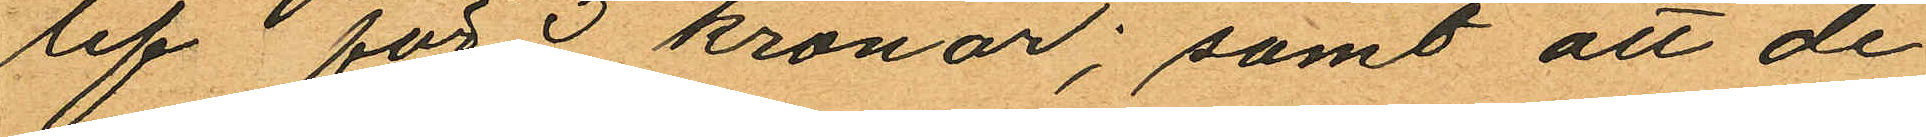lif för 3 kronor; samt att de
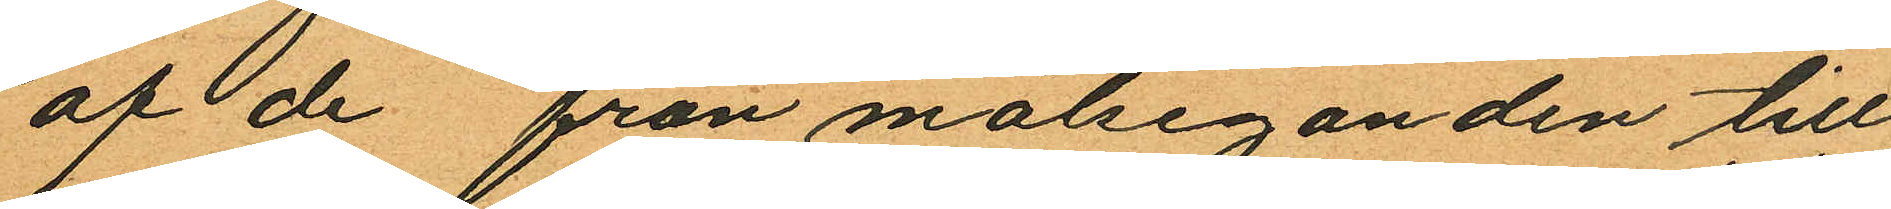af de från målseganden till
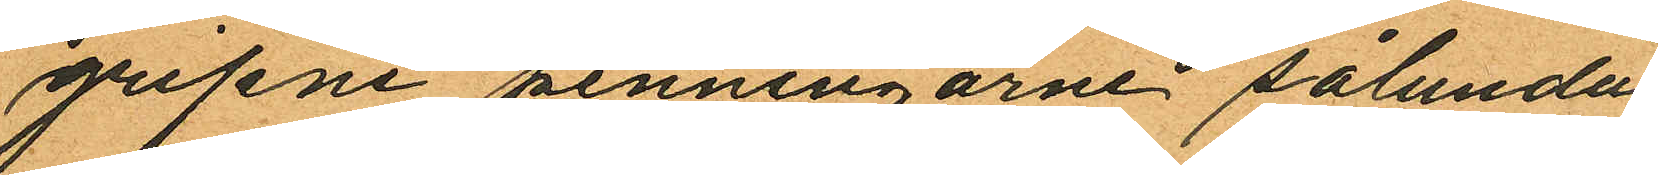gripne penningarne sålunda
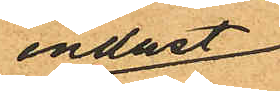endast
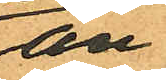an¬
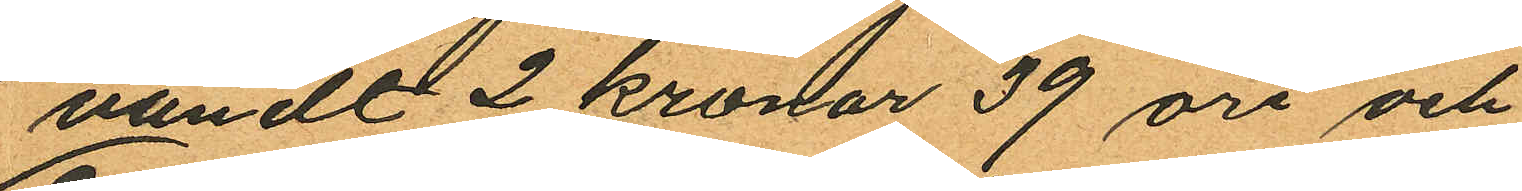vändt 2 kronor 39 öre och
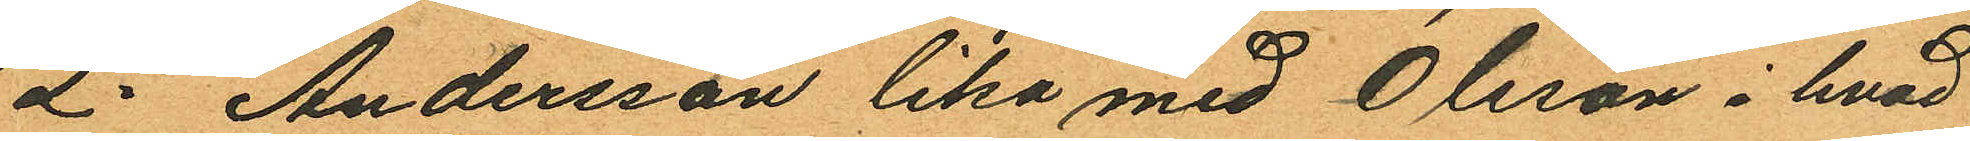2o Andersson lika med Olsson i hvad
